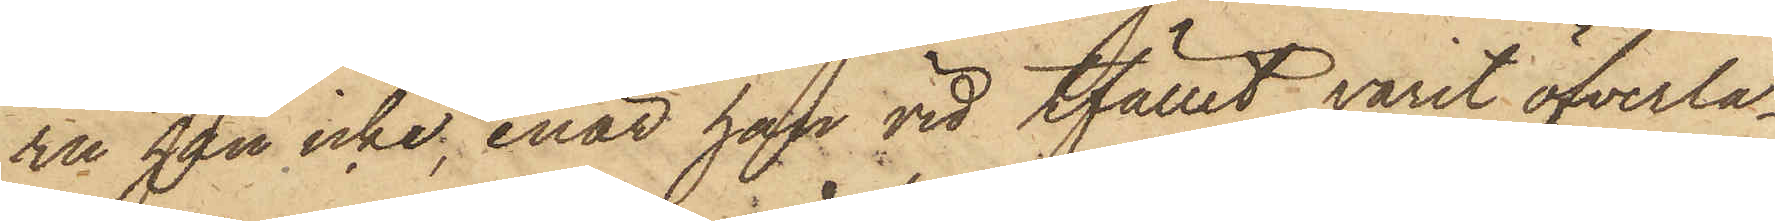ru han icke, enär han vid tfället varit öfverla¬
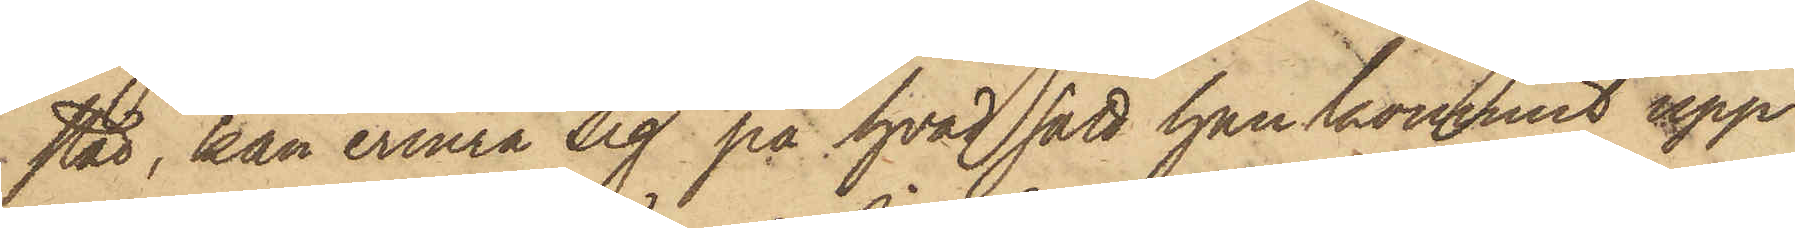stad, kan erinra sig på hvad sätt han kommit upp
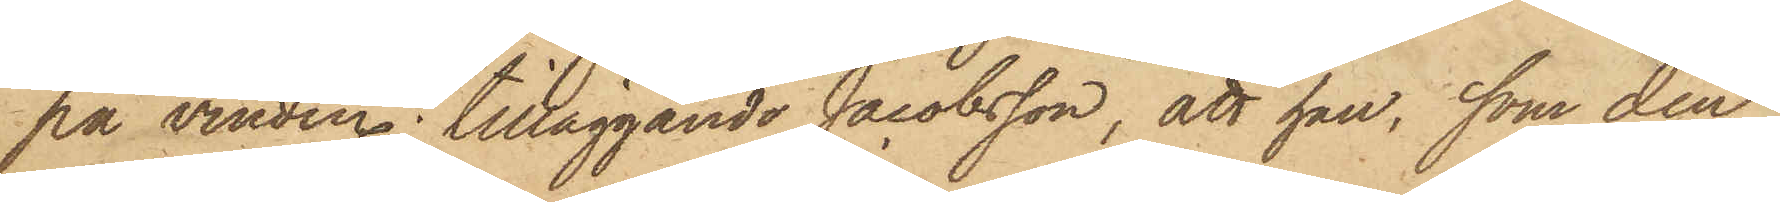på vinden; tilläggande Jacobsson, att han, som den
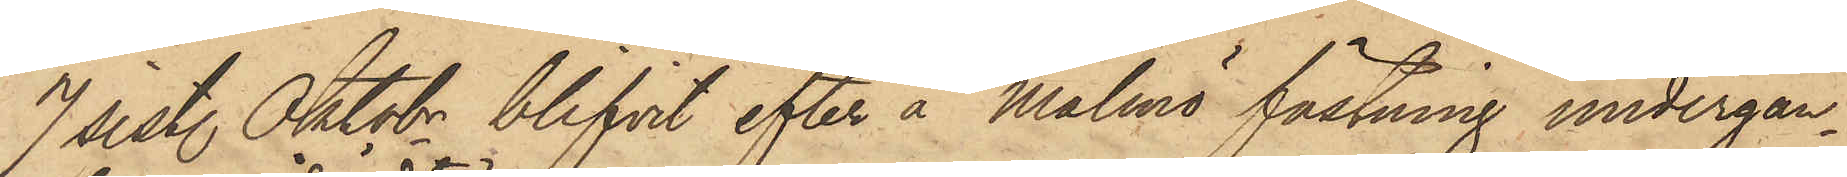7 sist. Oktobr blifvit efter å Malmö fästning undergån¬
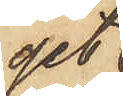get
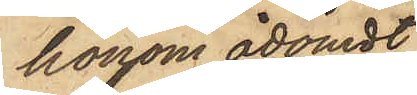honom ådömdt
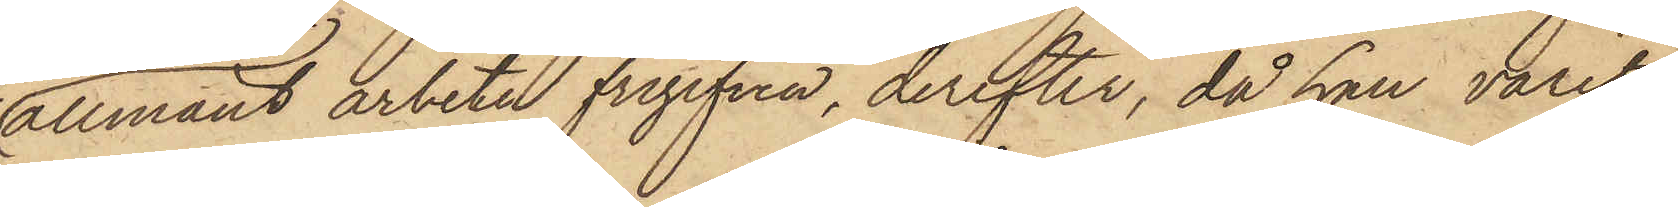allmänt arbete frigifven, derefter, då han varit
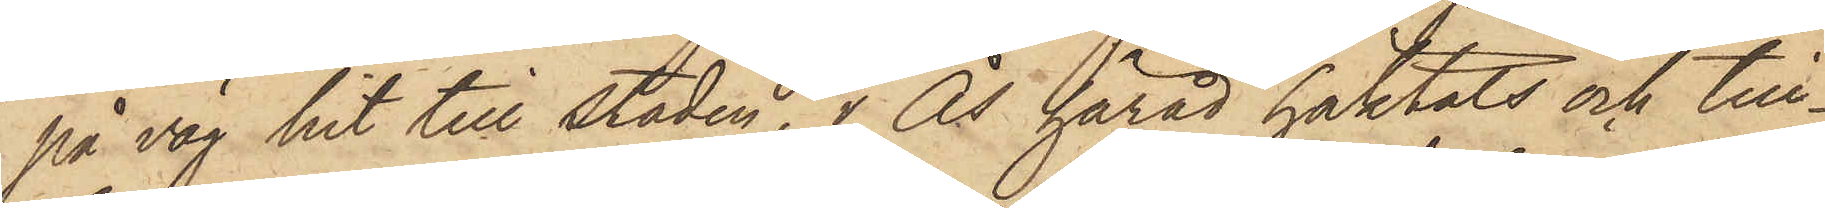på väg hit till Staden, i Ås härad häktats och till¬
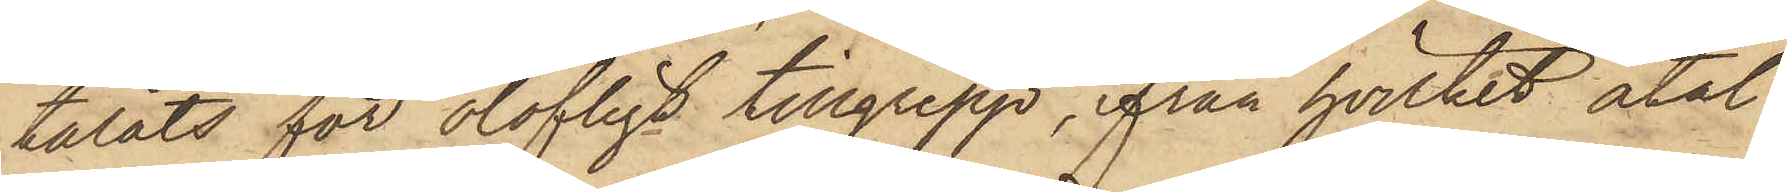talats för olofligt tillgrepp, från hvilket åtal
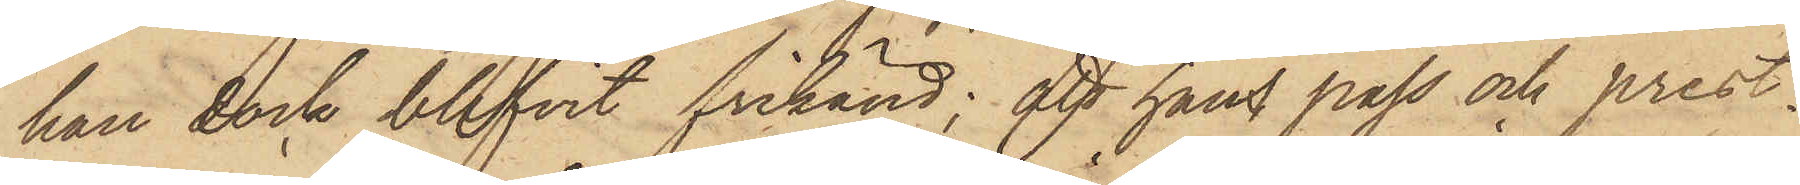han dock blifvit frikänd; att hans pass och prest¬
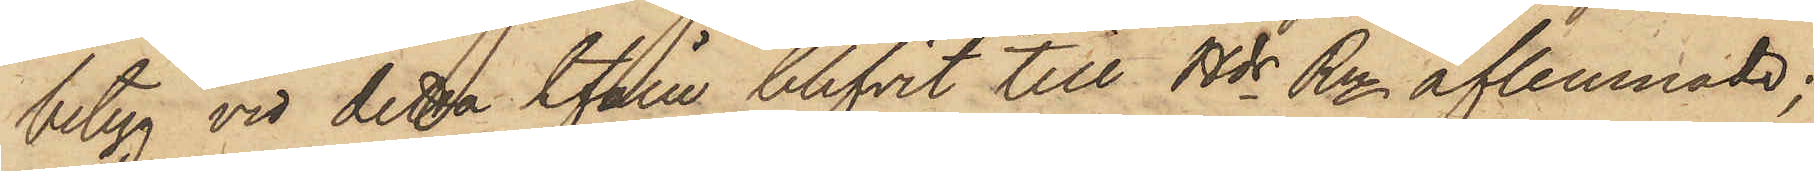betyg vid detta tfälle blifvit till Hds Rn aflemnade;
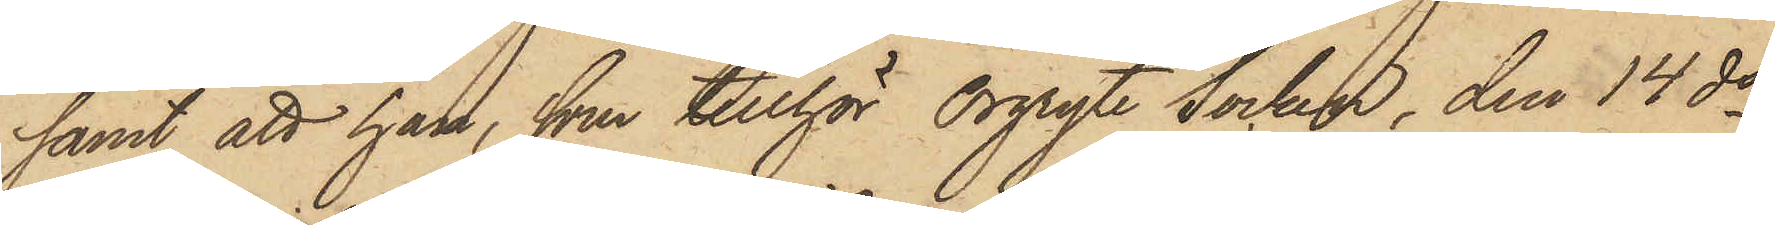samt att han, som tillhör Örgryte Socken, den 14 ds
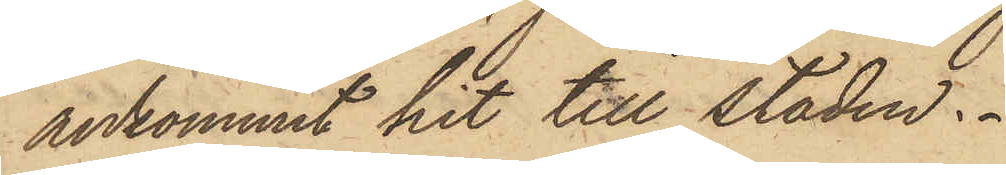ankommit hit till Staden.
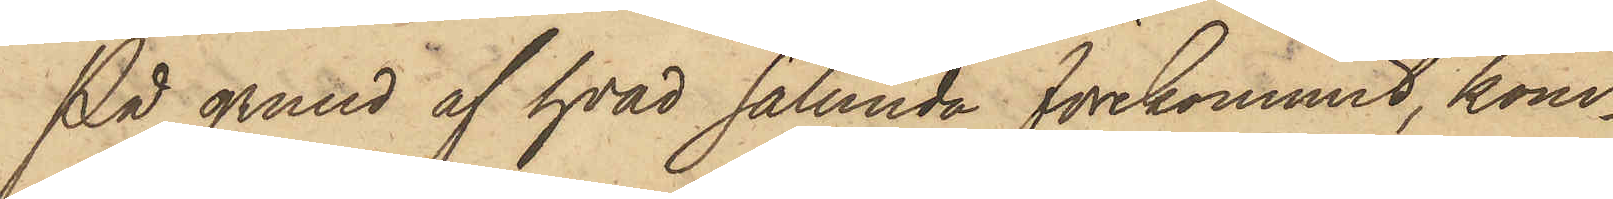På grund af hvad sålunda förekommit, kom¬
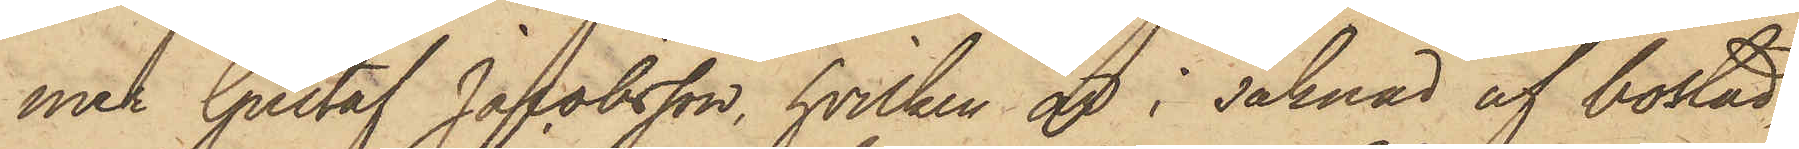mer Gustaf Jacobsson, hvilken är i saknad af bostad,
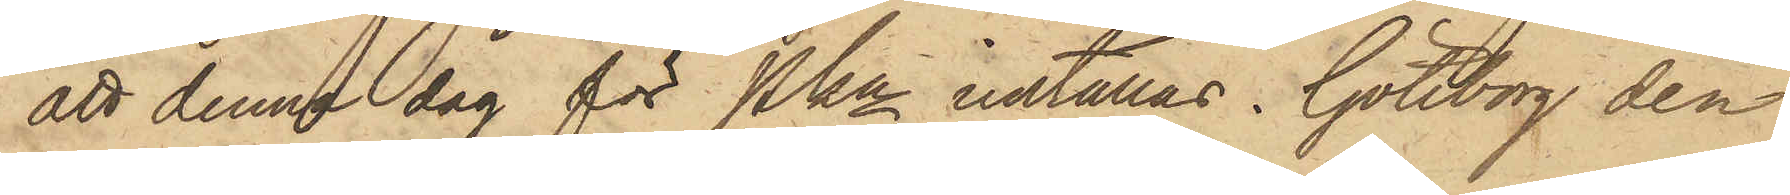att denna dag för Pkn inställas. Göteborg den
